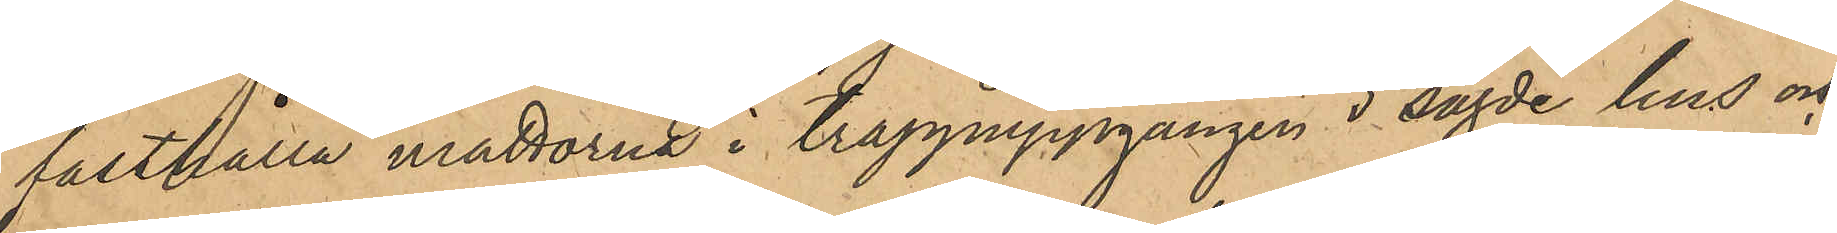fasthålla mattorna i trappuppgången i sagde hus och
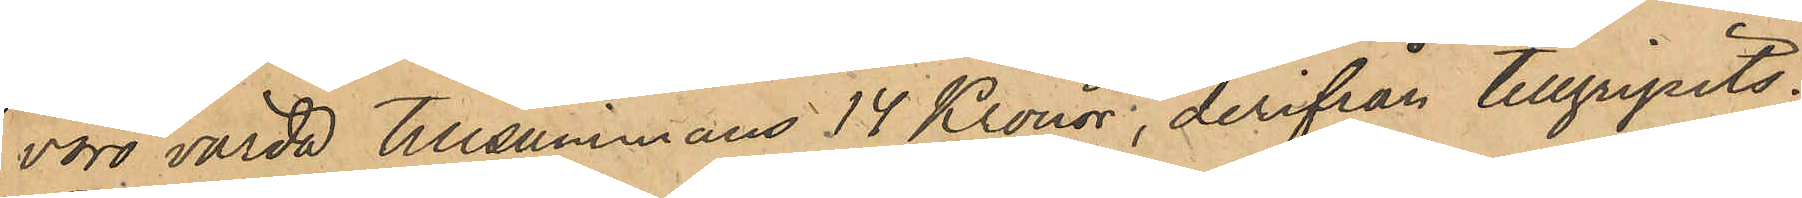voro värda tillsammans 14 Kronor, derifån tillgripits.
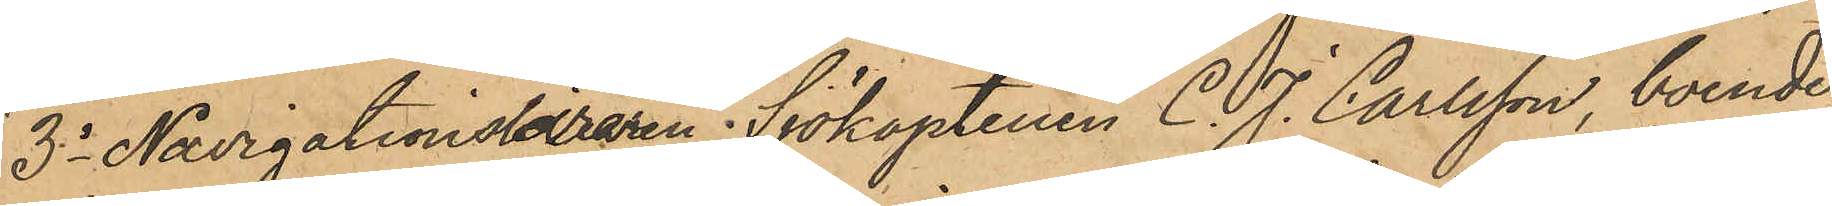3o Navigationsläraren; Sjökaptenen C. J. Carlsson, boende 
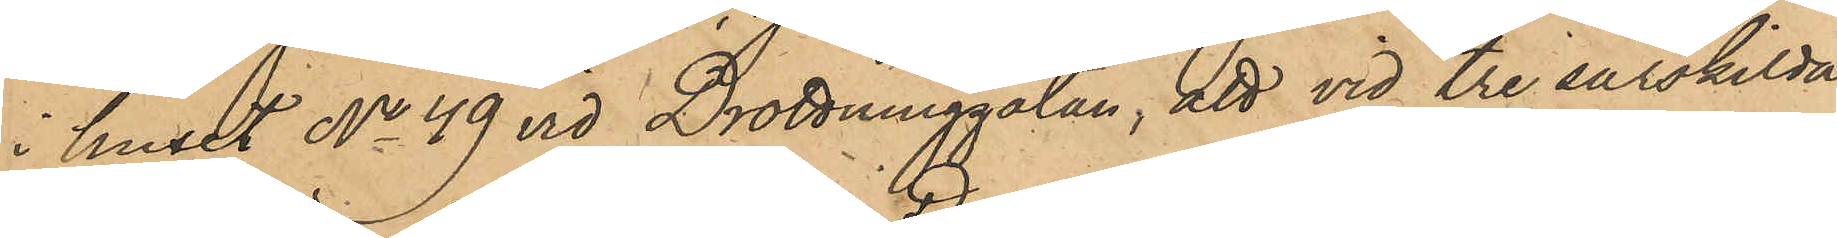i huset No 49 vid Drottninggatan, att vid tre särskilda 
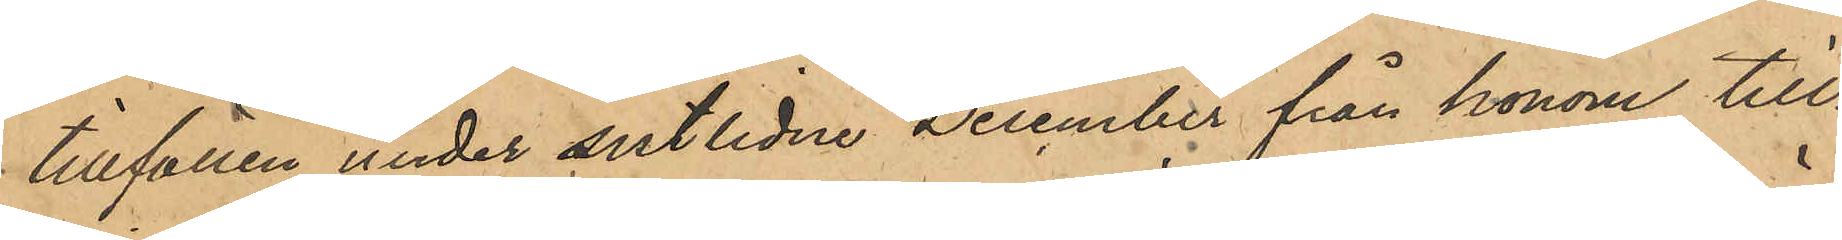tillfällen under sistlidne December från honom till¬
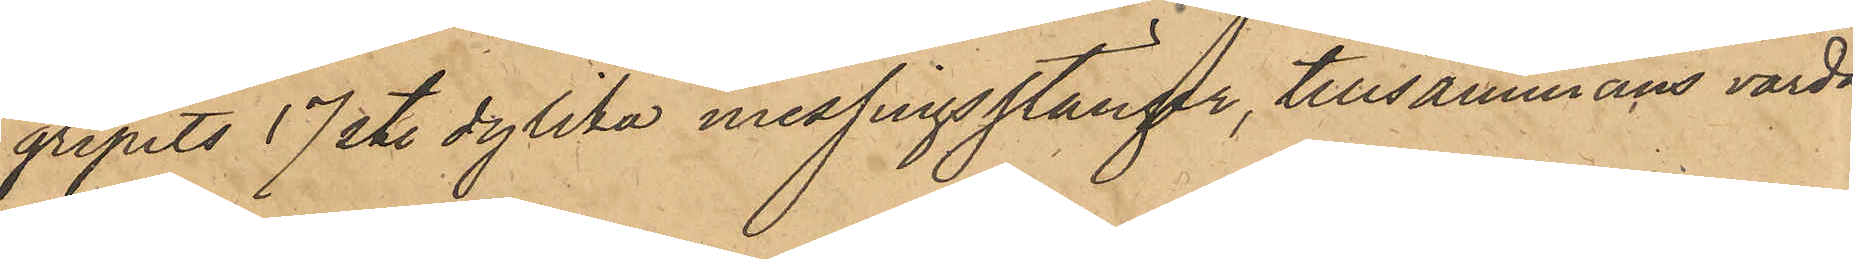gripits 17 st. dylika messingsstänger, tillsammans värda
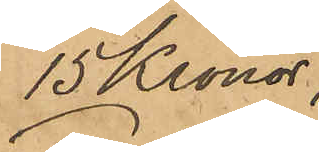15 Kronor;
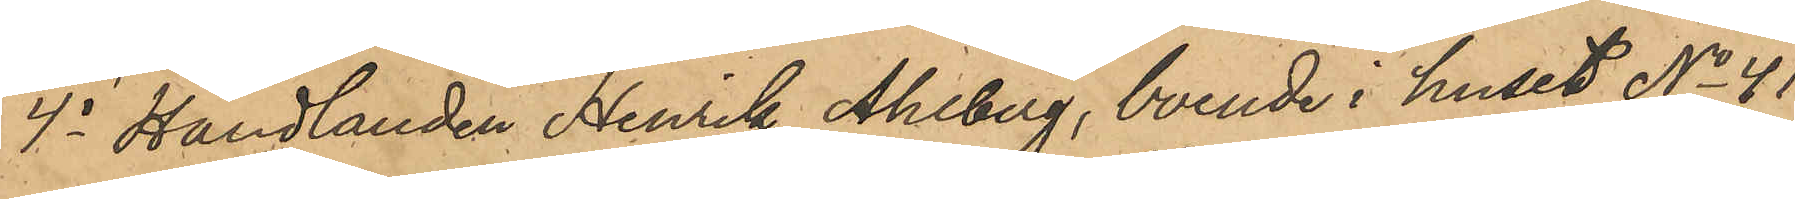4o Handlanden Henrik Ahlberg, boende i huset No 41
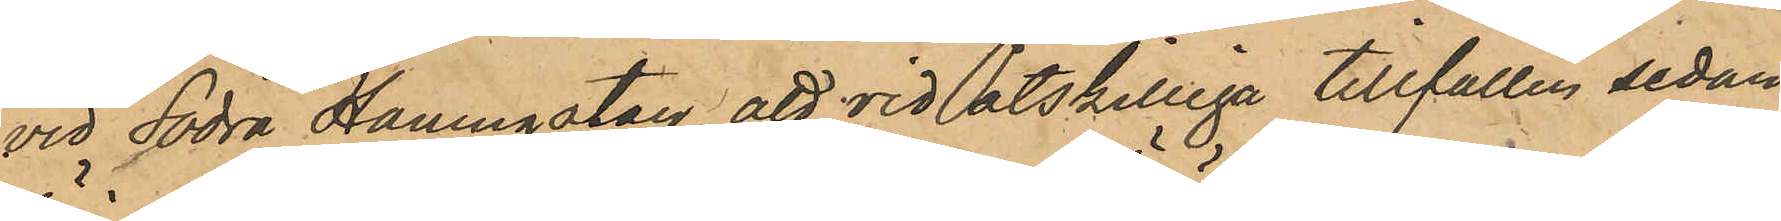vid Södra Hamngatan, att vid åtskilliga tillfällen sedan
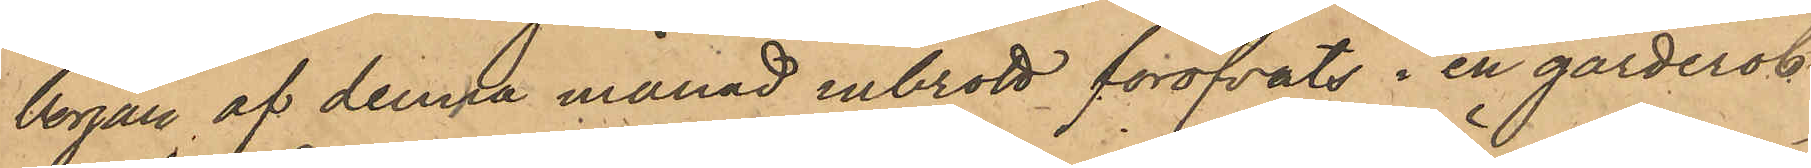början af denna månad inbrott föröfvats i en garderob
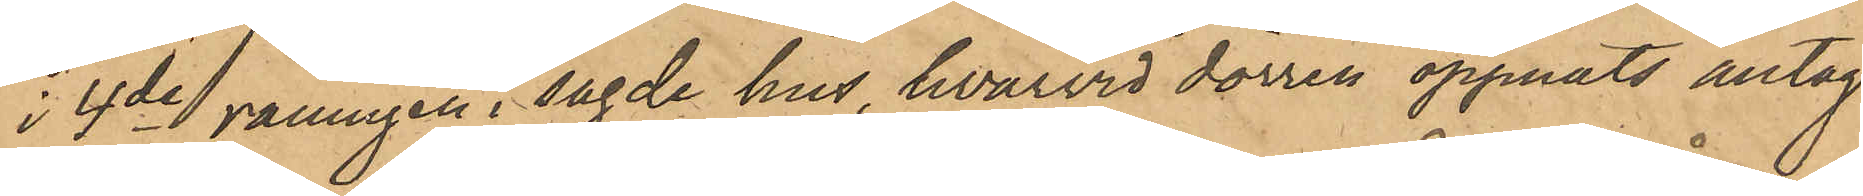i 4de våningen i sagde hus, hvarvid dörren öppnats antag¬
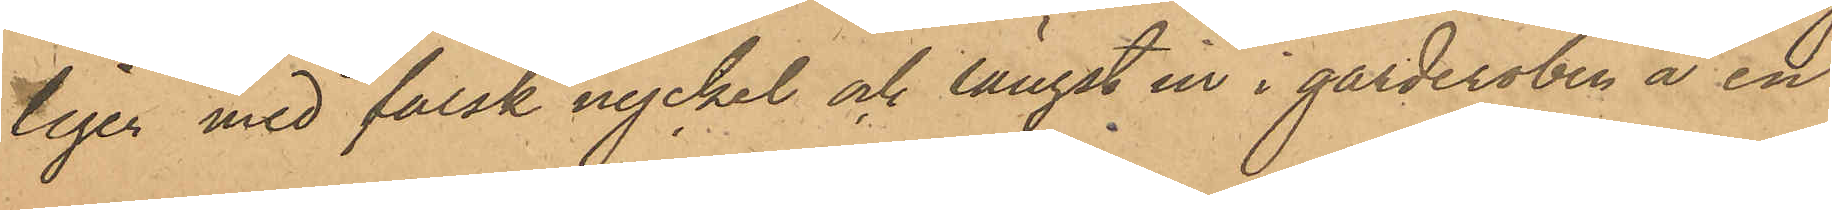ligen med falsk nyckel och längst in i garderoben å en
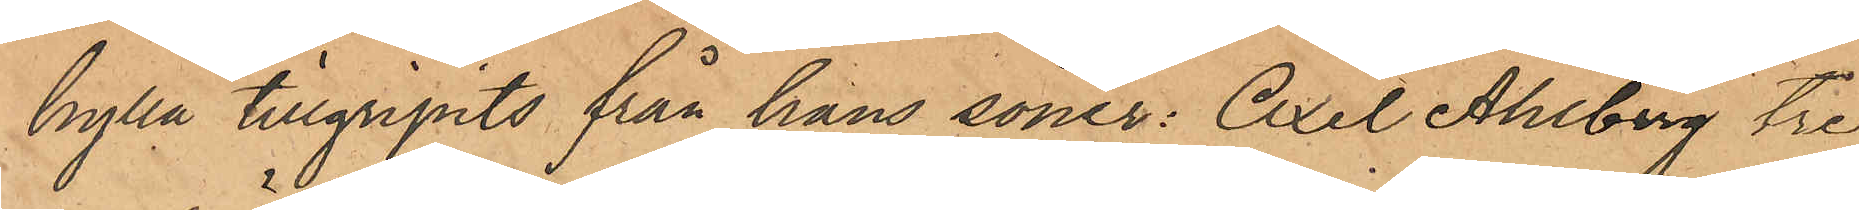hylla tillgripits från hans söner: Axel Ahlberg tre
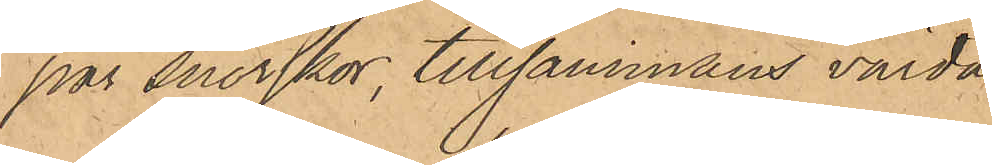par snörskor, tillsammans värda
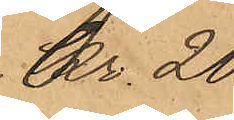Kr. 20
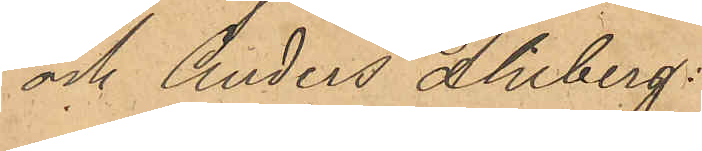och Anders Ahlberg:
